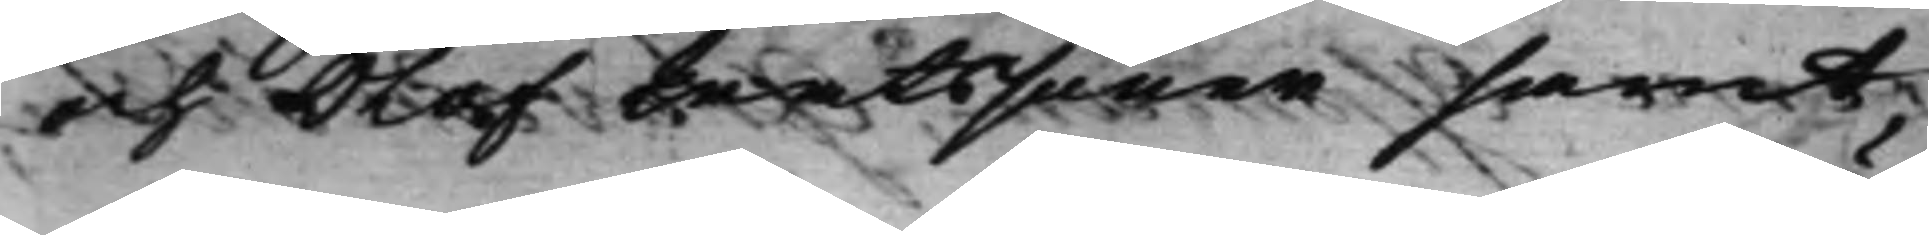och Olof Matssöner samt
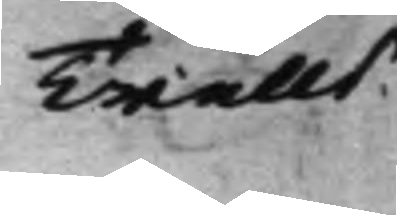Trulls 
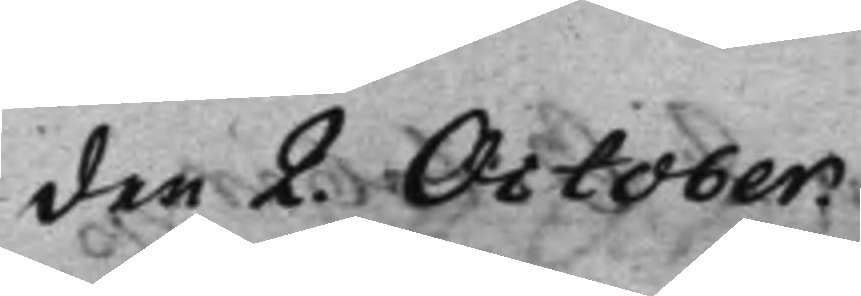den 2. October.
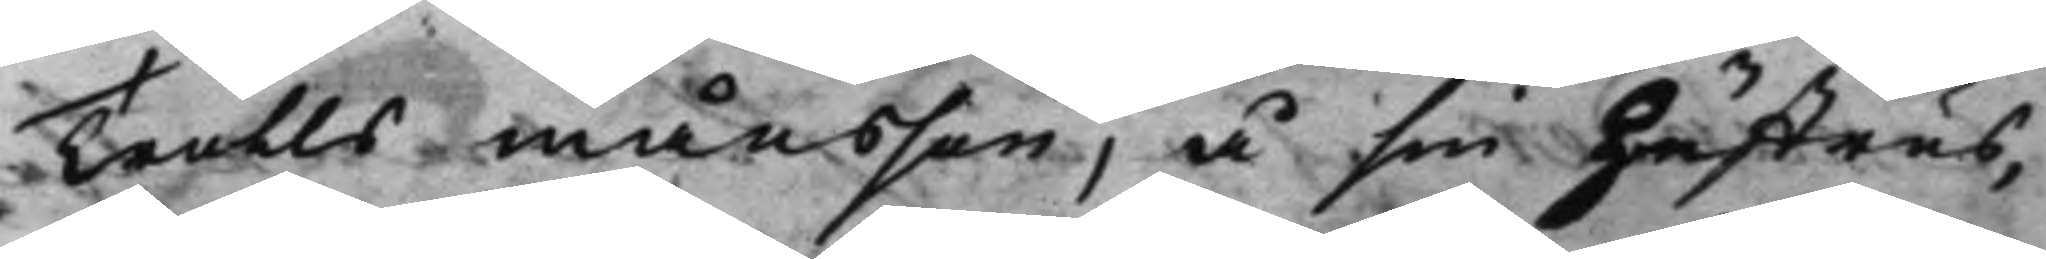Trulls månsson, å sin Hustrus,
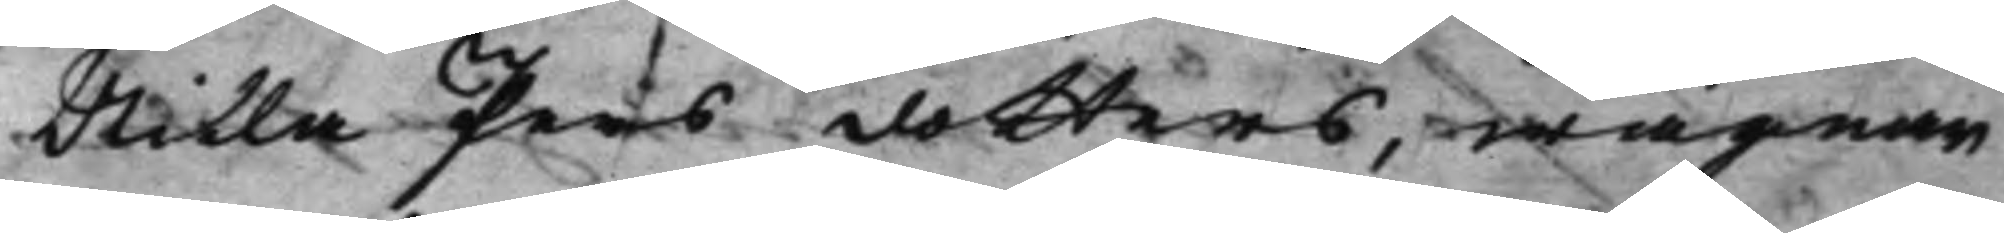Nilla Persdotters, wägnar
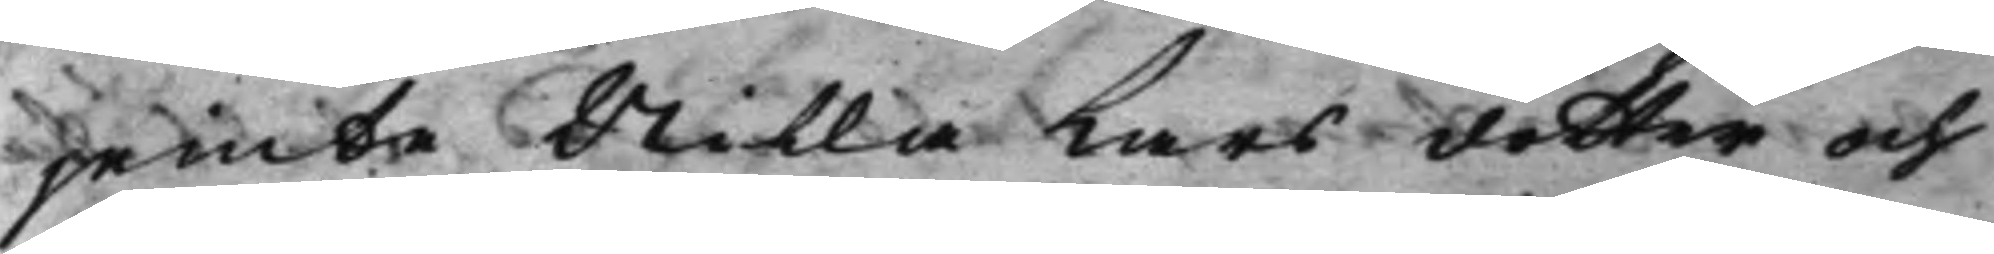jemte Nilla Larsdotter och
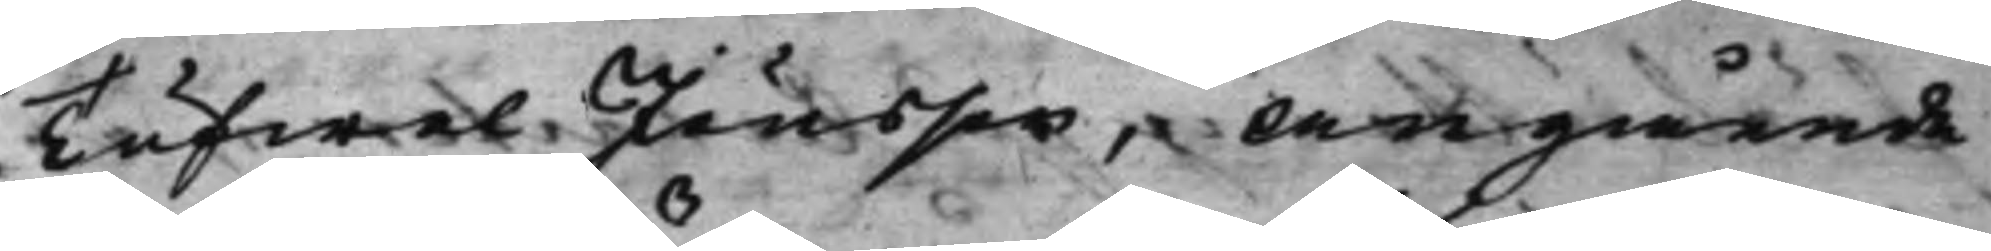Tufwel Jönsson, Angående
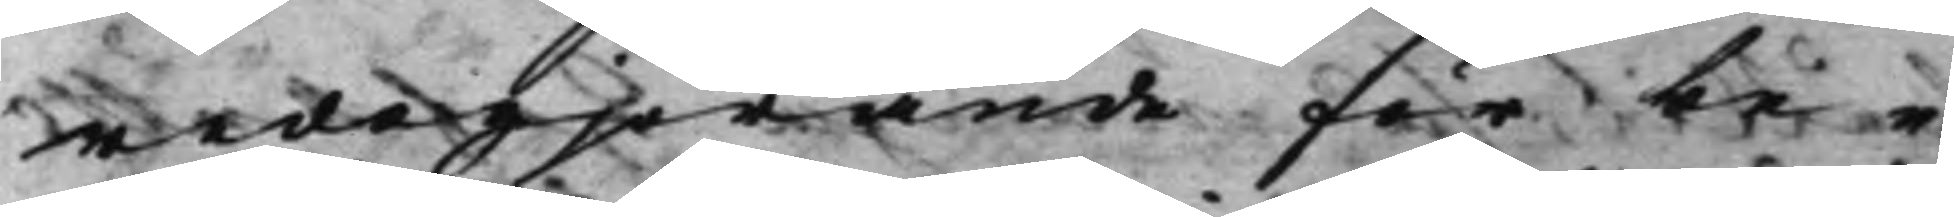redogjörande för be¬
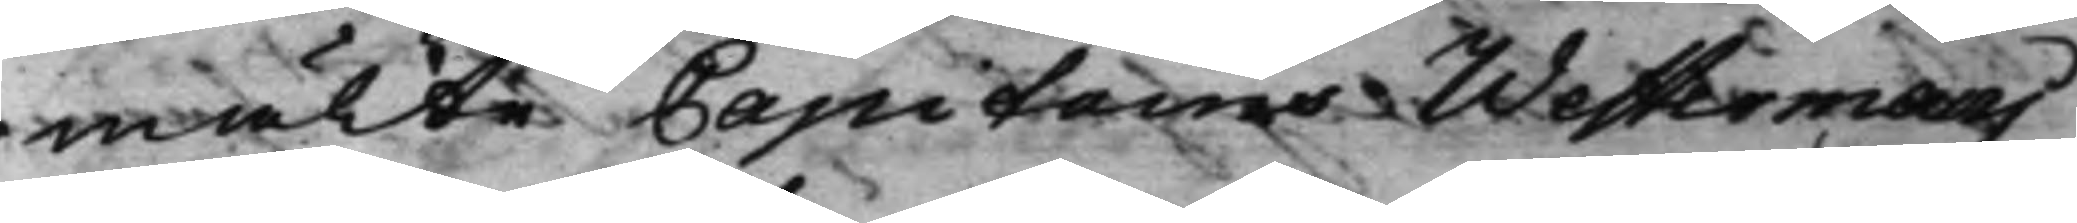mälte Capitains Westermans
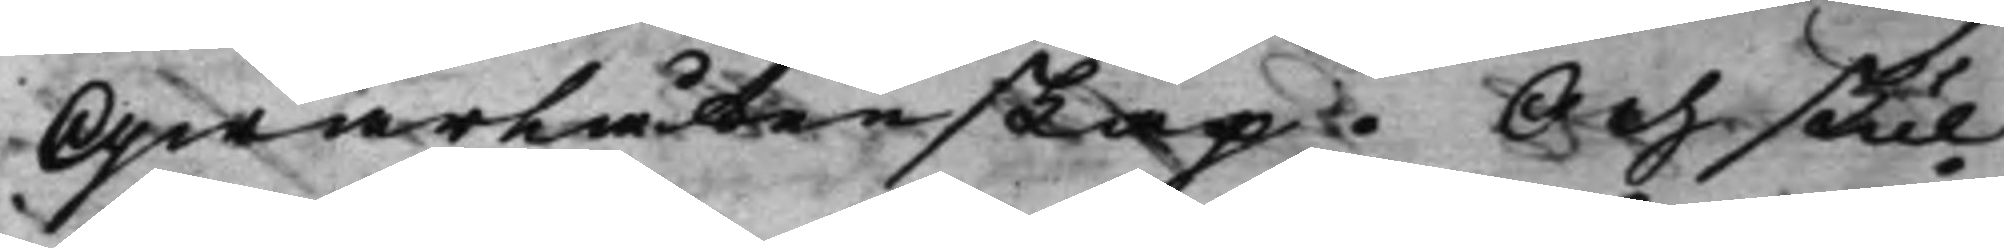Qwarlåtenskap. Och skul¬
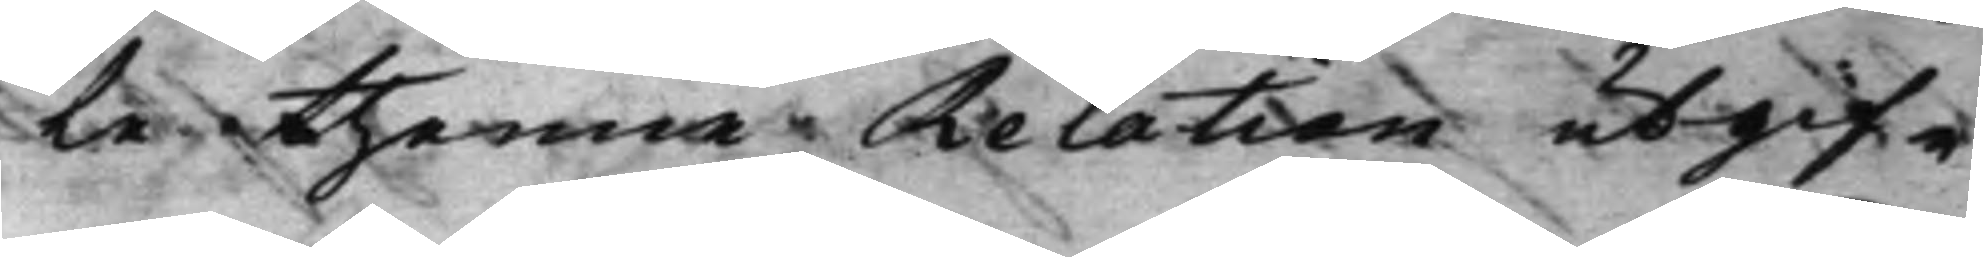te thenna Relation utgif¬
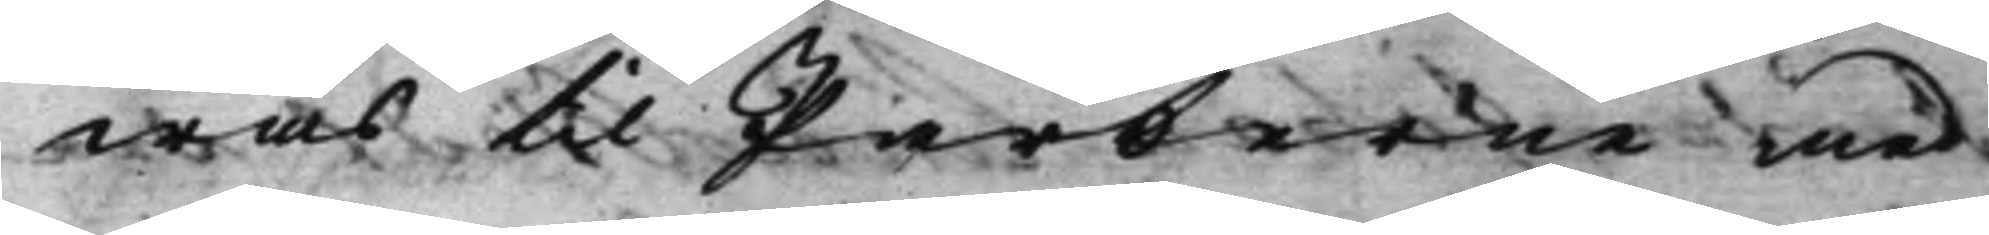was til Parterne med
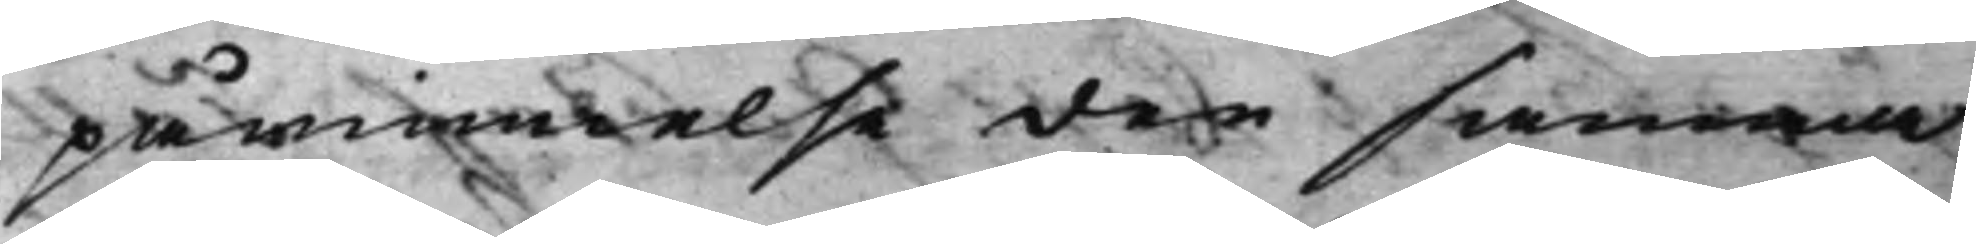påminnelse den samma
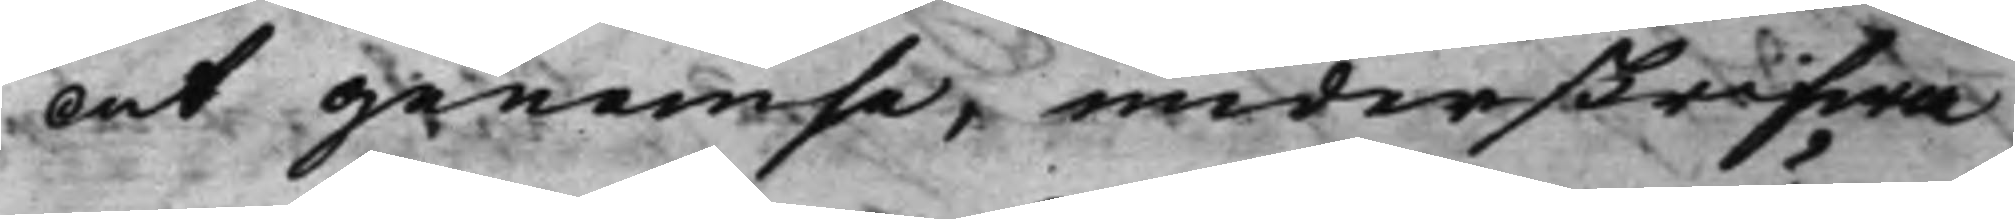At genomse, underskrifwa
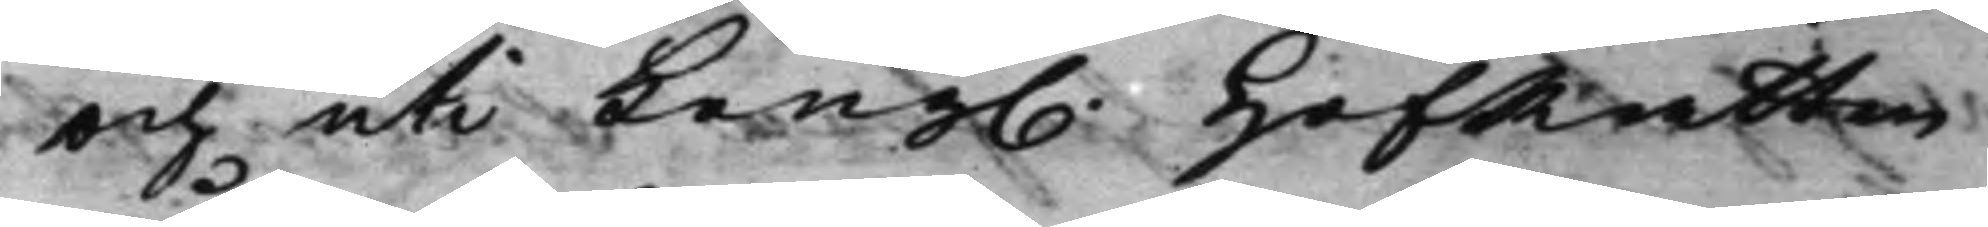och uti Kong. HofRätten 
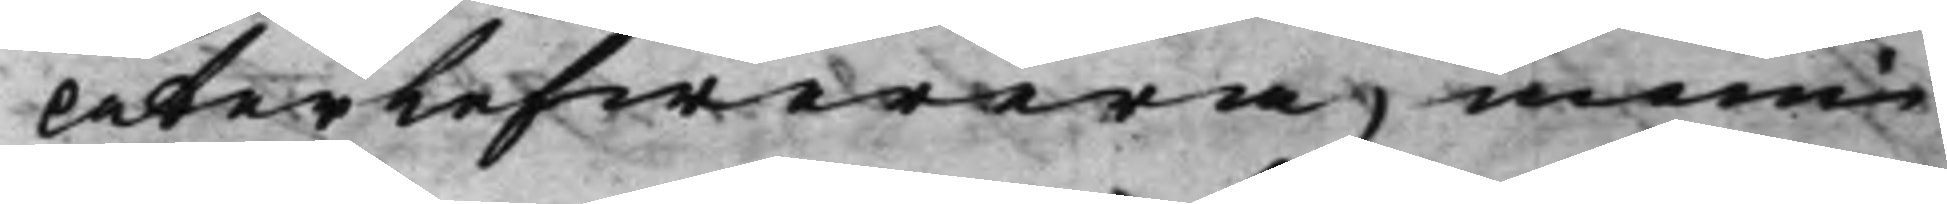Återlefwerera, inom
